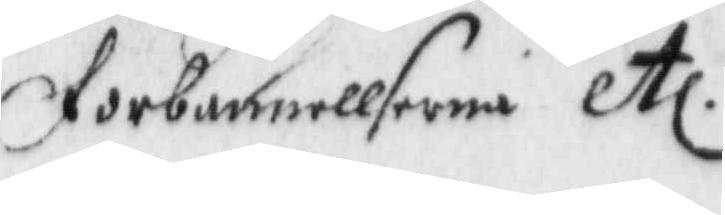forbannellserna etc.
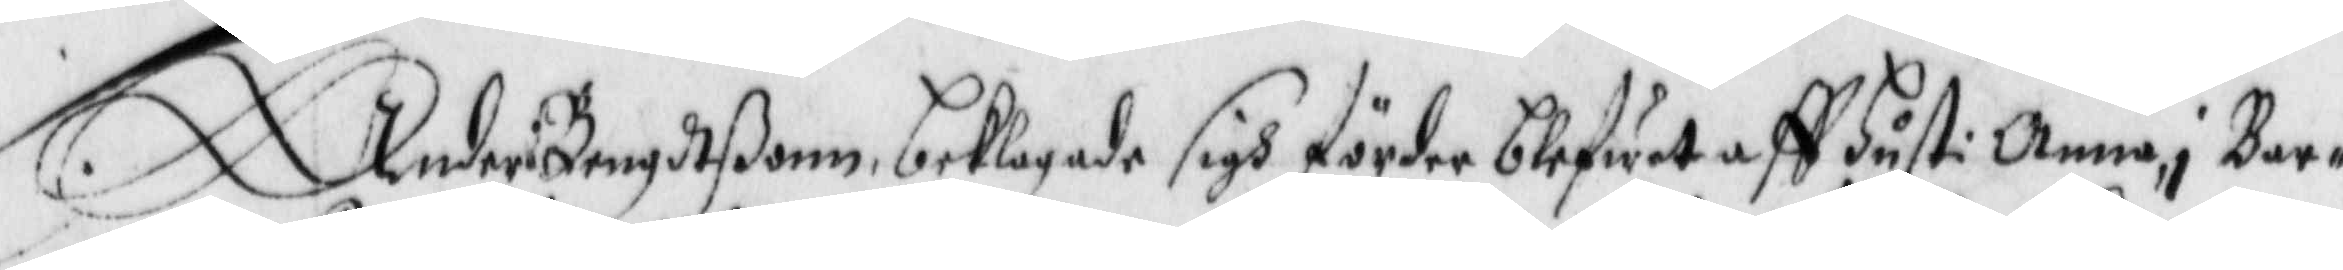Anders Bengdtßonn beklagade sigh förder blefwet aff hust: Anna i Bar¬
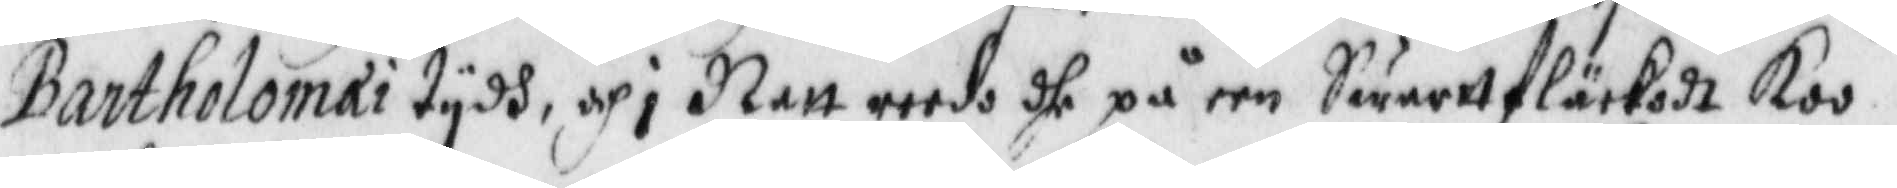Bartholomai tydh, och i Natt reedo dhe på een Swarttfläckedt Koo.
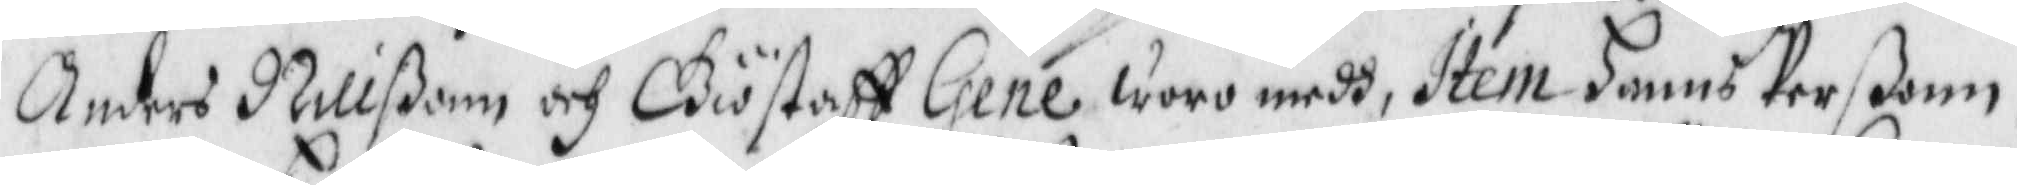Anders Nillßonn och Giöstaff Gene woro medh, Item Hanns Perßonn,
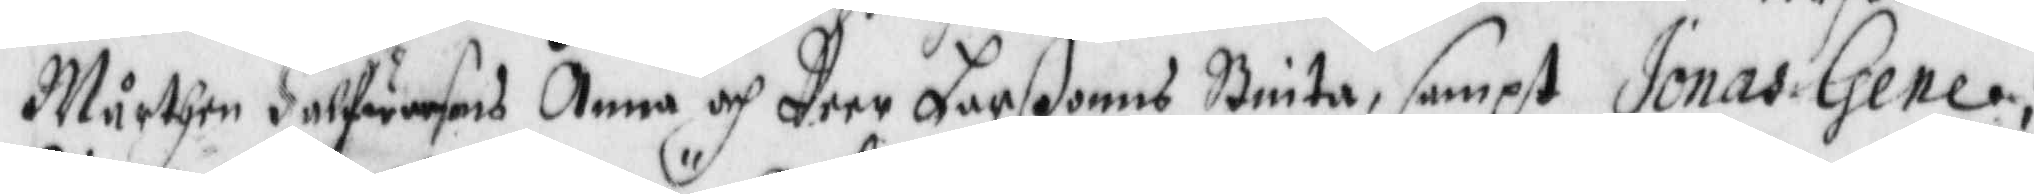Mårthen Halfwarsons Anna och Peer Larßonns Brita, sampt Jonas Gene,
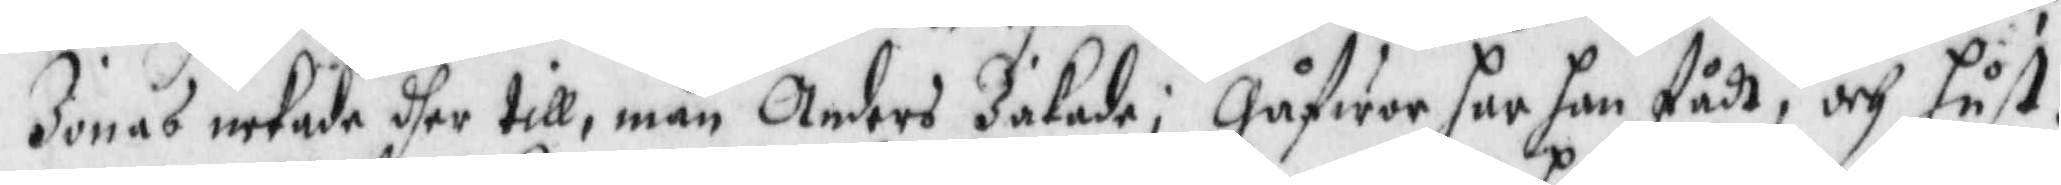Jonas nekade dher till, män Anders Jakade; gåfwer har han fådt, och hust:
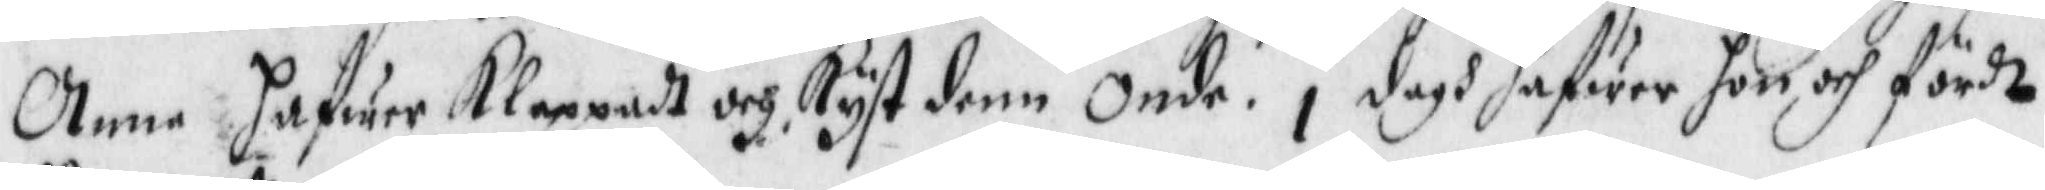Anna hafwer Klappadt och Kyst denn onde i dagh hafwer hon ovh fördt
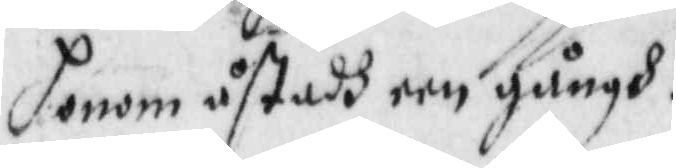honom åstadh een gångh.
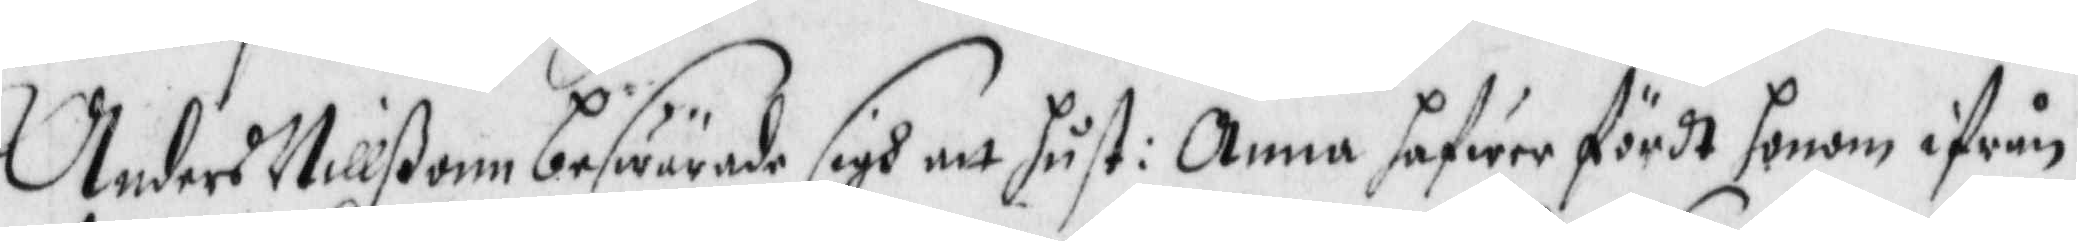Anders Nillßon beswärade sigh att hust: Anna hafwer fördt honom ifrån
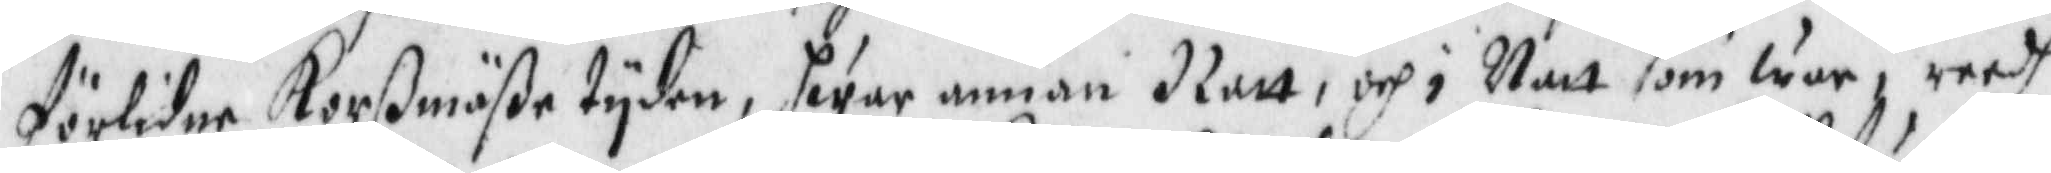förlidne Korßmäße tyden, hwar annan Natt, och i Natt som war, reedh
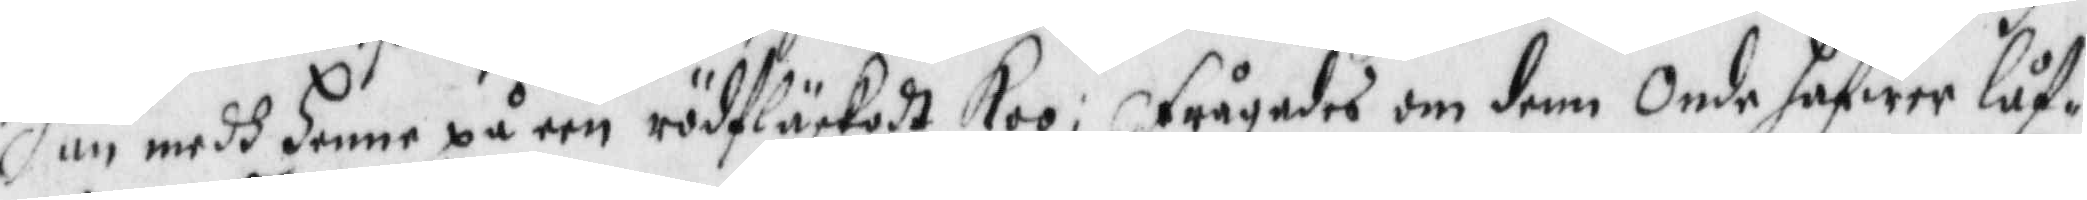han medh henne på een rödfläckadt Koo, frågades om denn Onde hafwer låf¬
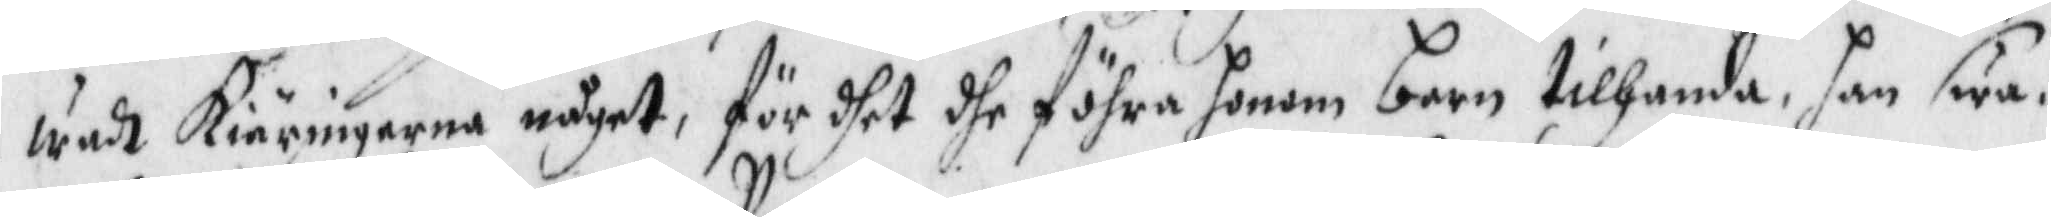wadt Kiäringarna något, för dhet dhe föhra honom barn tilhanda, han swa¬
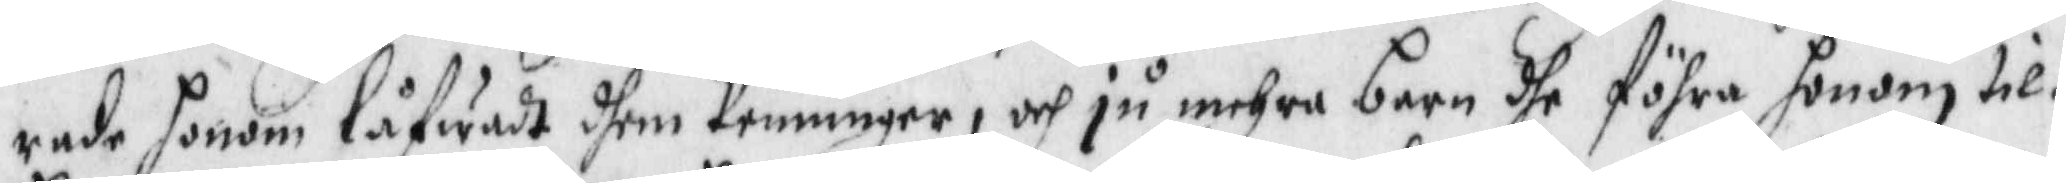rade honom låfwadt dhem Penninger, och ju mehra barn dhe föhra honom til¬
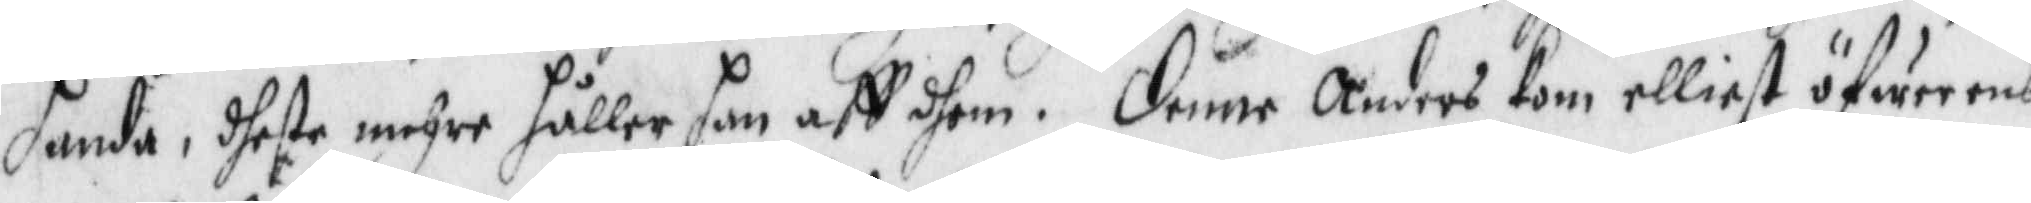handa, dheste mehre håller han aff dhem. Denne Anders Kom elliest öfwerens
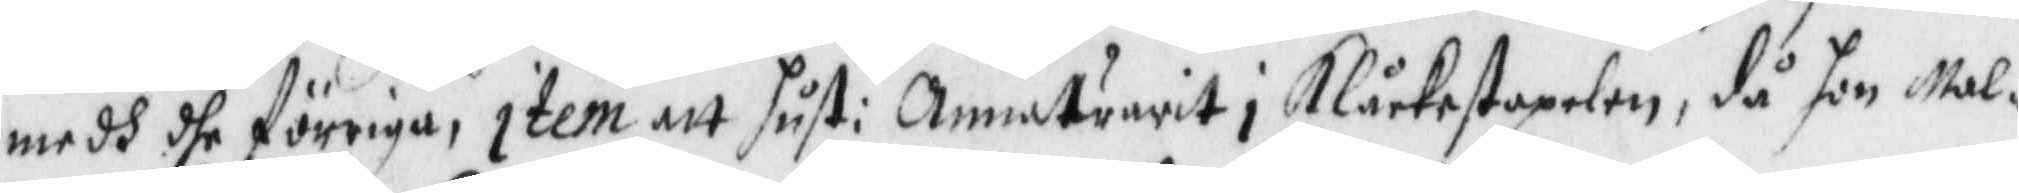medh dhe förriga, item att hust: Anna warit i Klåcstapelen, då hon Mal¬
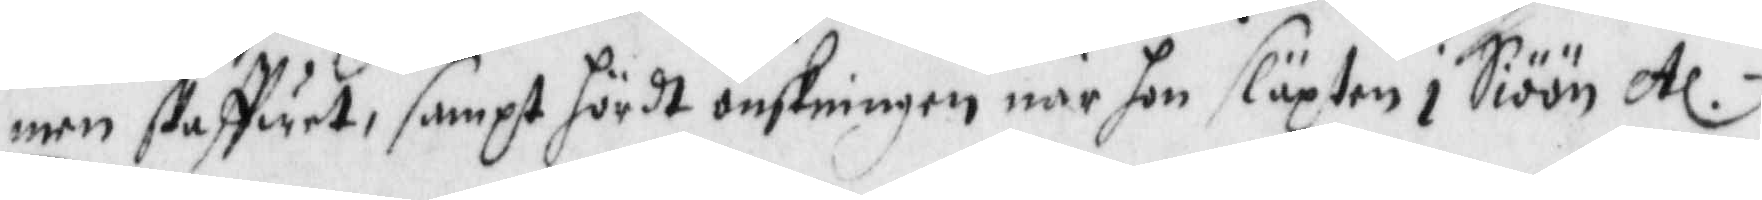men skaffuet, sampt hördt önskningen när hon släpten i Siöön etc.
